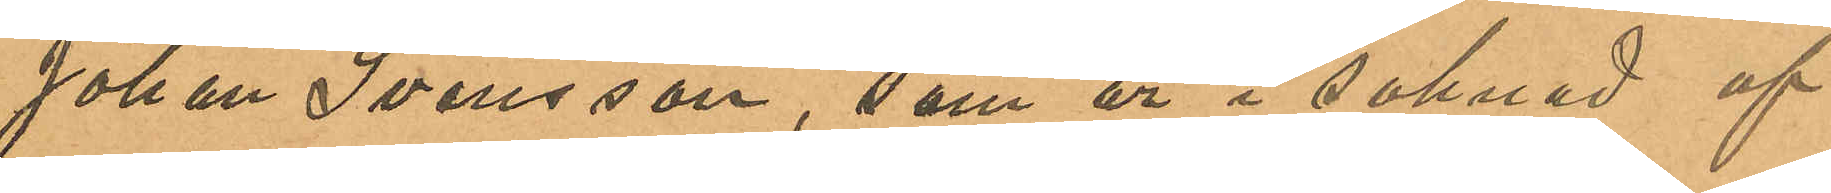Johan Svensson, som är i saknad af
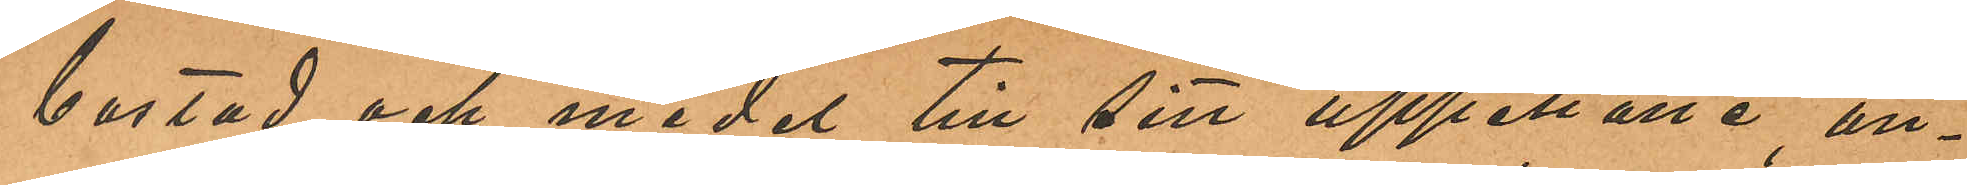bostad och medel till sitt uppehälle an¬
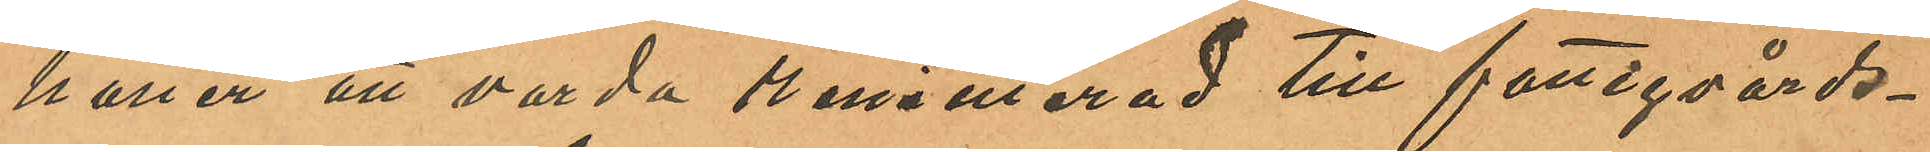håller att varda remitterad till fattigvårds¬
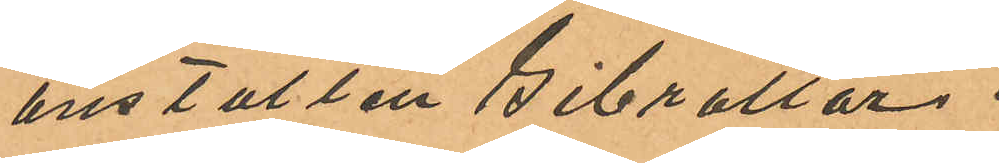anstalten Gibraltar.
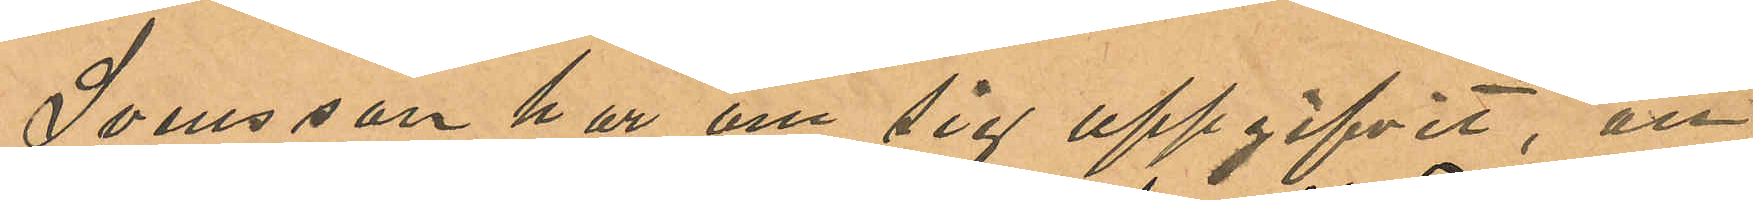Svensson har om sig uppgifvit, att
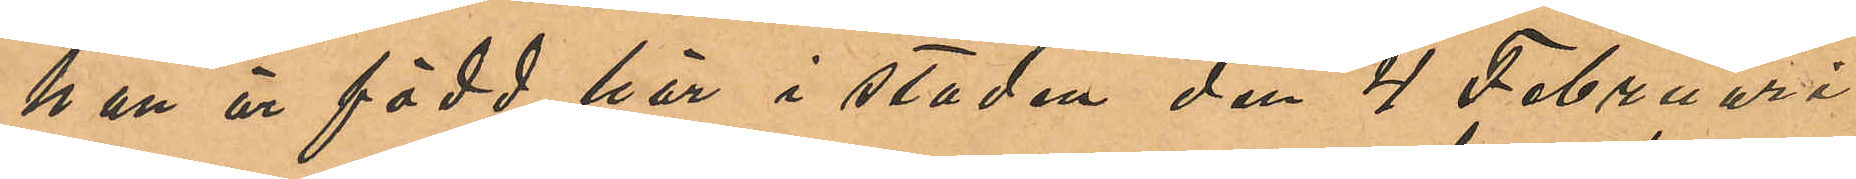han är född här i staden den 4 Februari
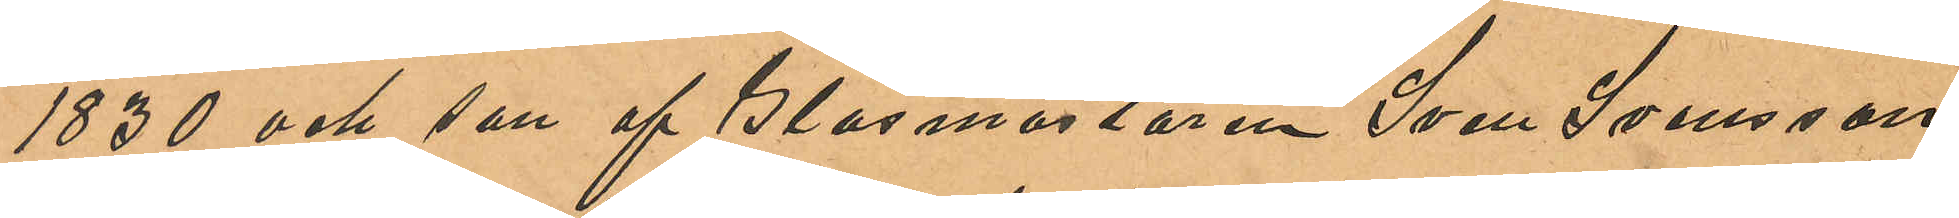1830 och son af Glasmästaren Sven Svensson
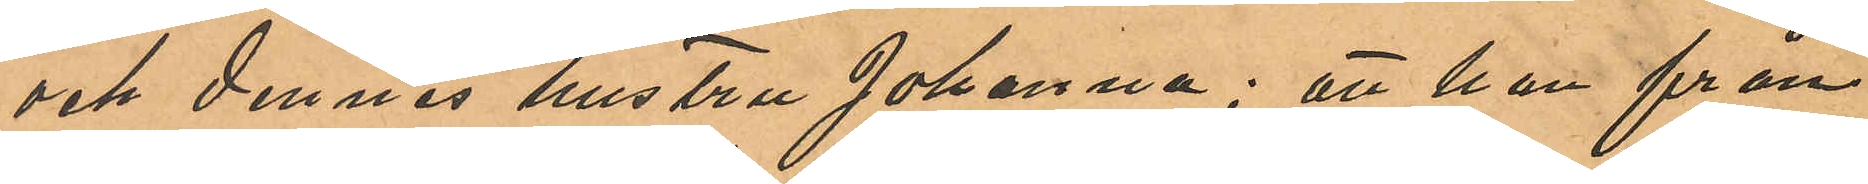och dennes hustru Johanna; att han från
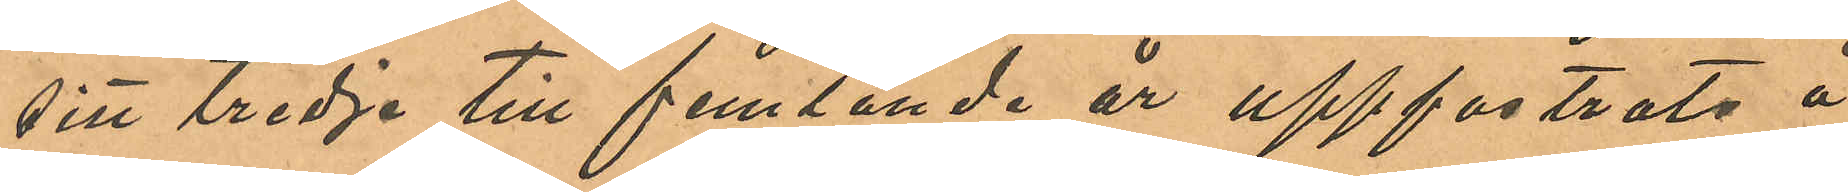sitt tredje till femtonde år uppfostrats å
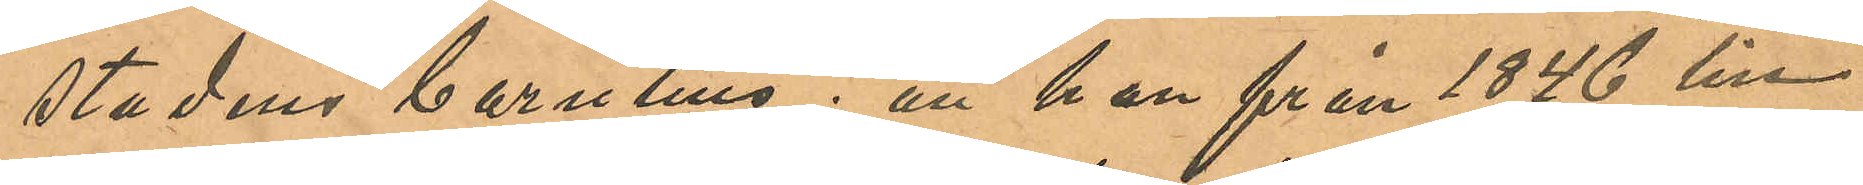stadens barnhus; att han från 1846 till
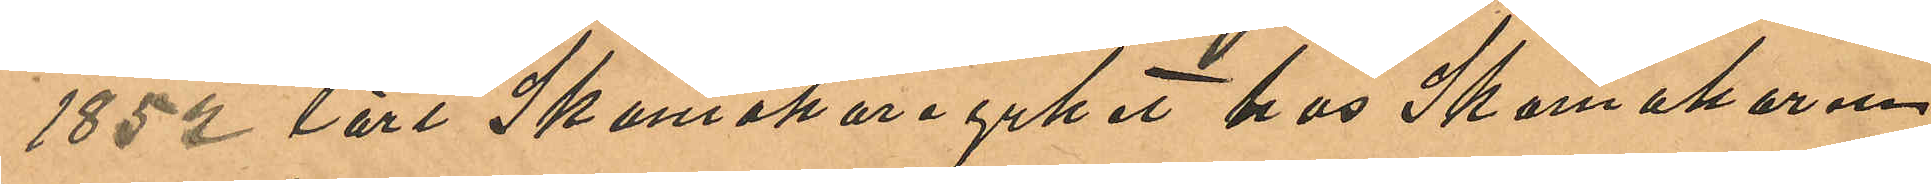1852 lärt Skomakareyrket hos Skomakaren
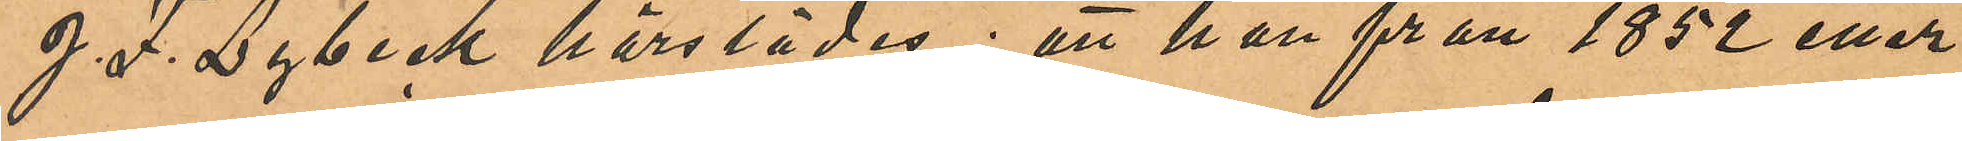J. F. Lybeck härstädes; att han från 1852 eller
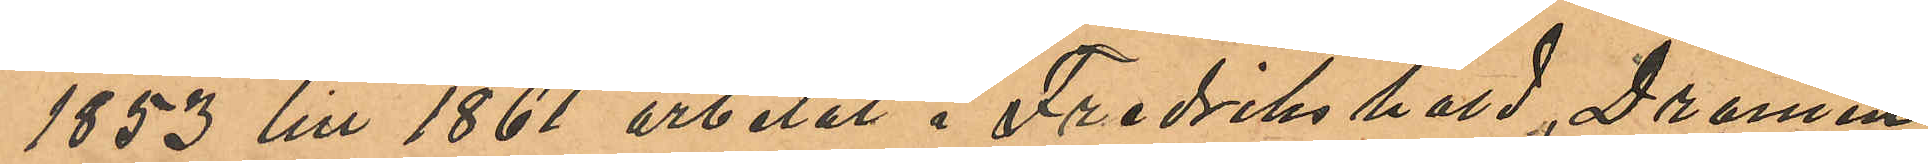1853 till 1861 arbetat i Fredrikshald, Dramen
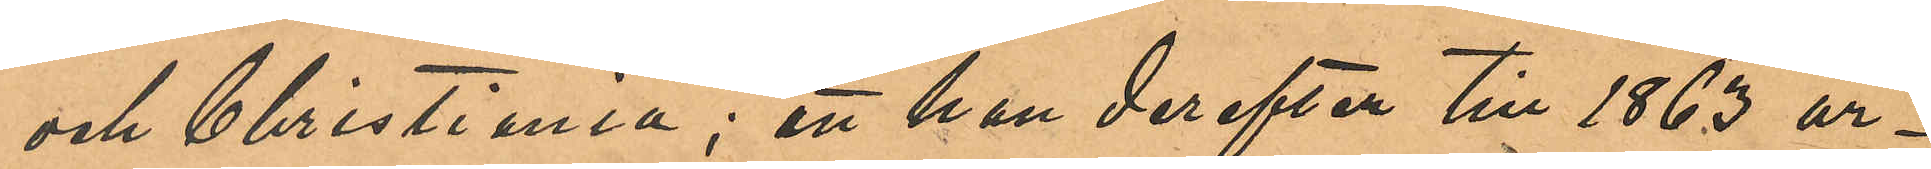och Christiania; att han derefter till 1863 ar¬
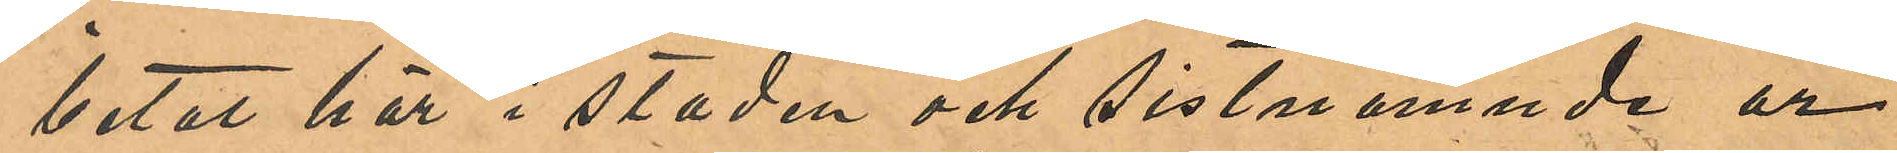betat här i staden och sistnämnde år
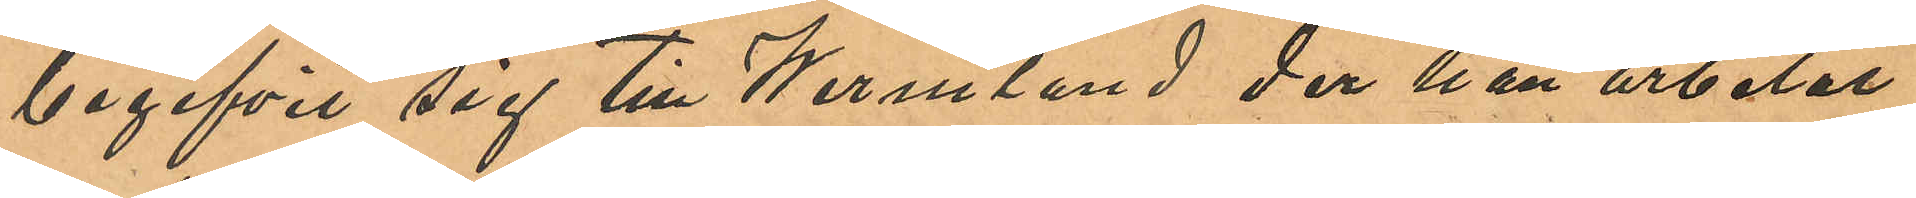begifvit sig till Wermland, der han arbetat
